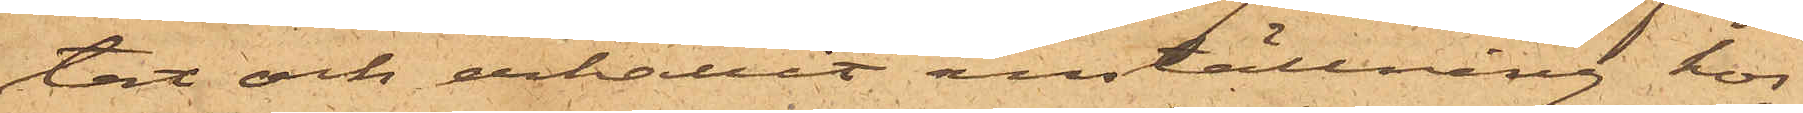tat och erhållit anställning hos
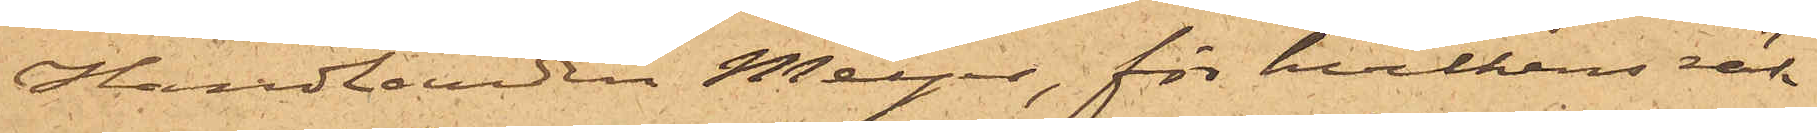Handlanden Meyer, för hvilkens räk¬
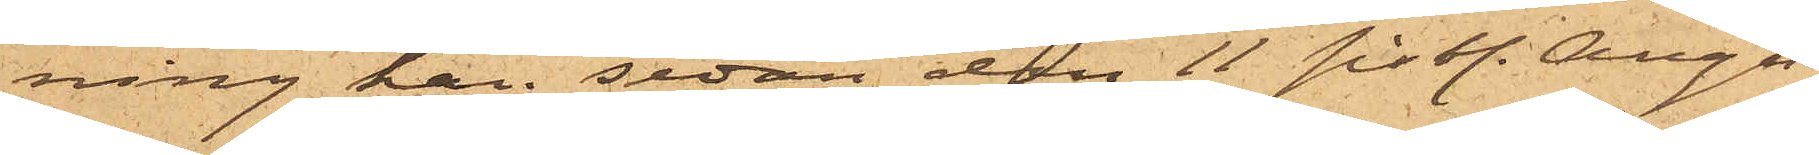ning han sedan den 11 sist. Augu¬
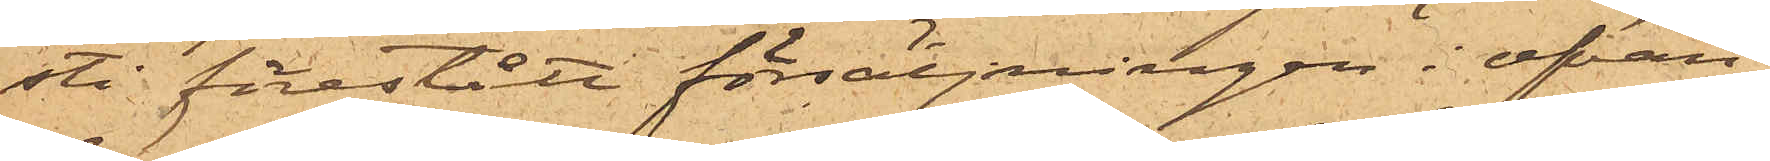sti förestått försäljningen i ofvan
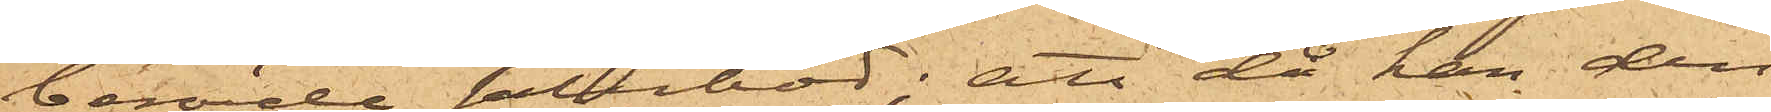berörde salubod; att då han den
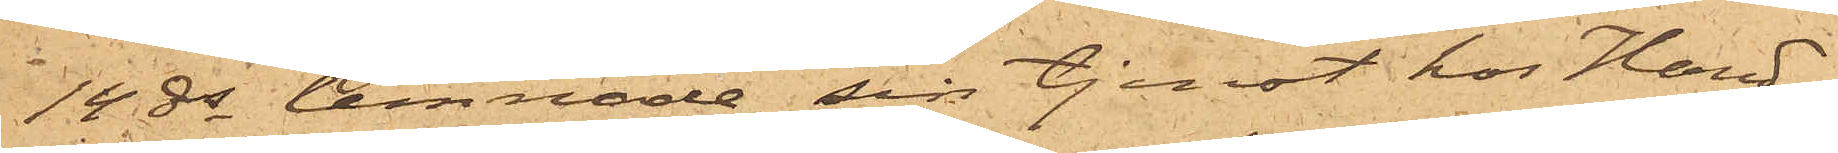14 ds lemnade sin tjenst hos Hand¬
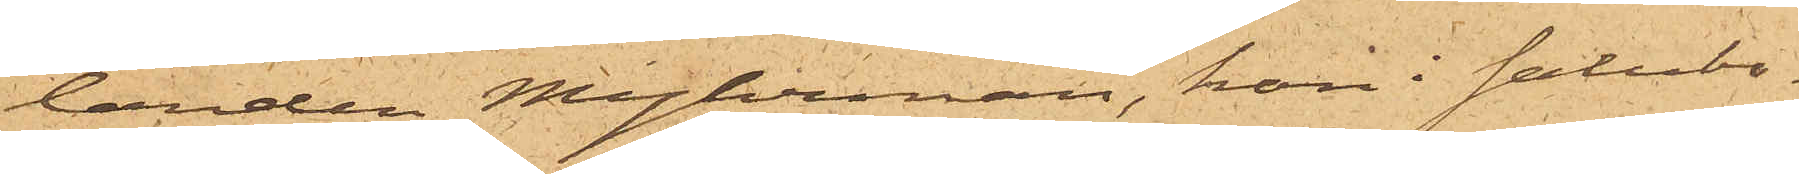landen Myhrman, han i salubo¬
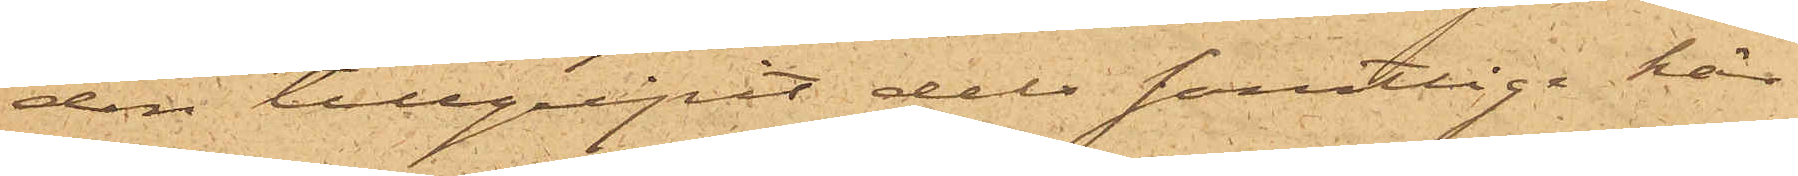den tillgripit dels samtlige här¬
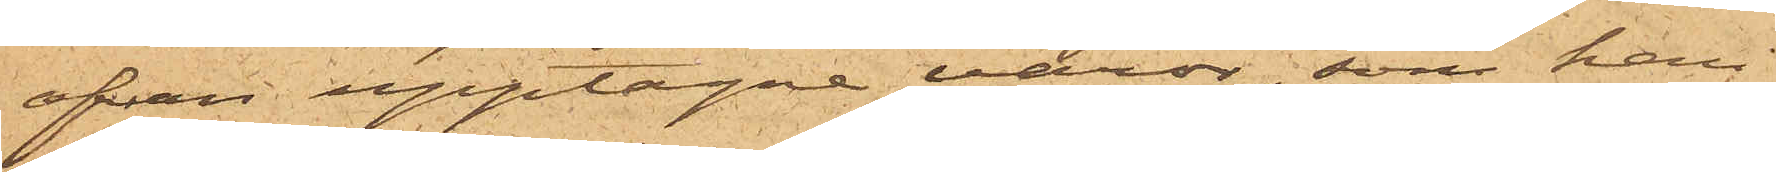ofvan upptagne varor, som han
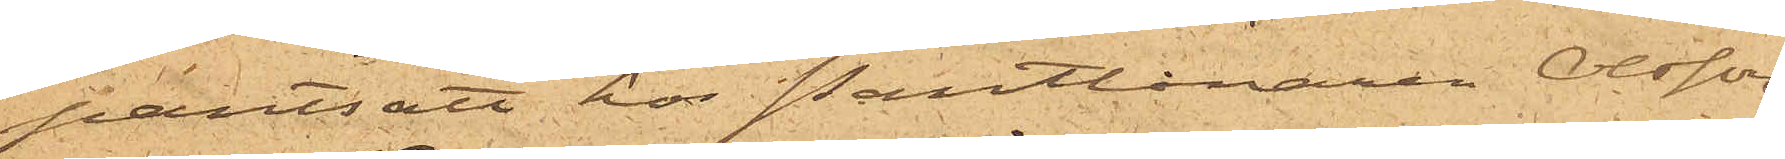pantsatt hos Pantlånaren Olsson
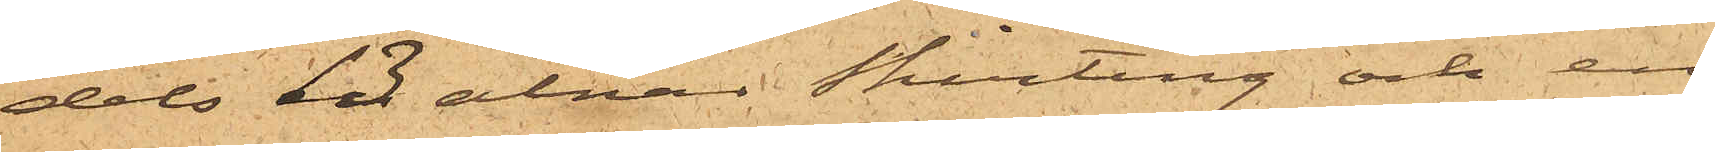dels 13 alnar skirting och en
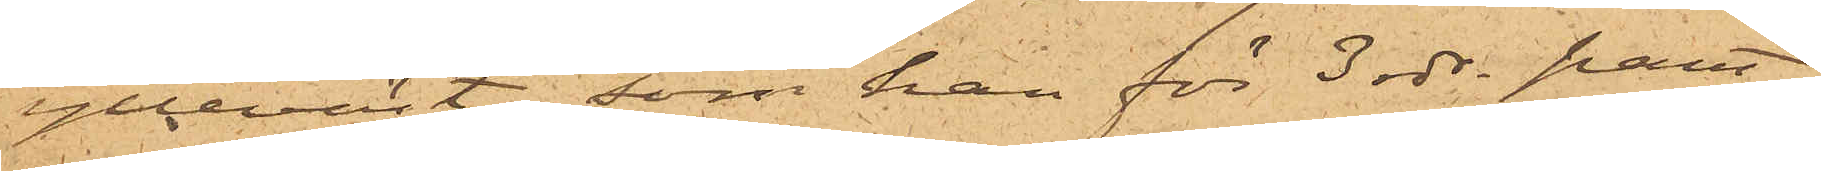ylleväst, som han för 3 rdr pant¬
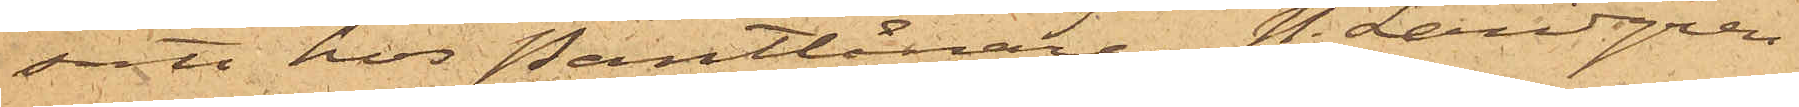satt hos Pantlånaren N. Landgren
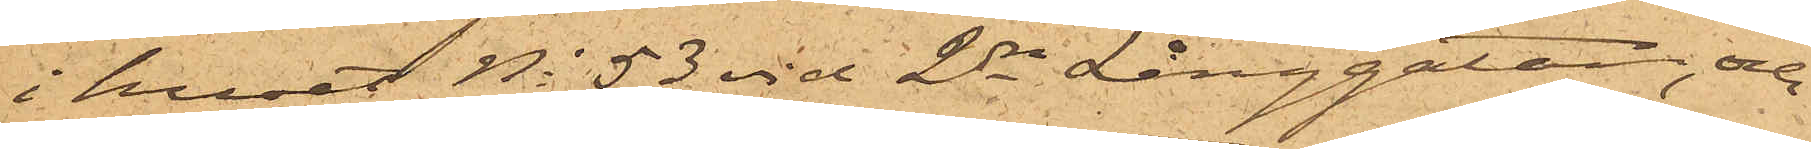i huset No 53 vid 2dra Långgatan, och
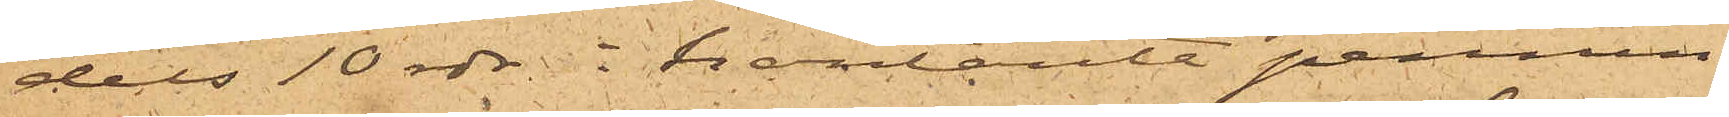dels 10 rdr i kontanter pennin¬
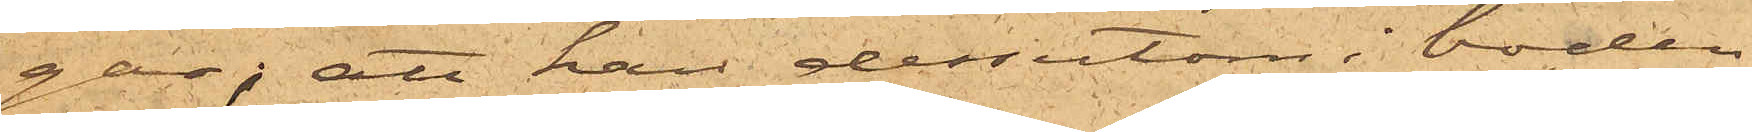gar; att han dessutom i boden
